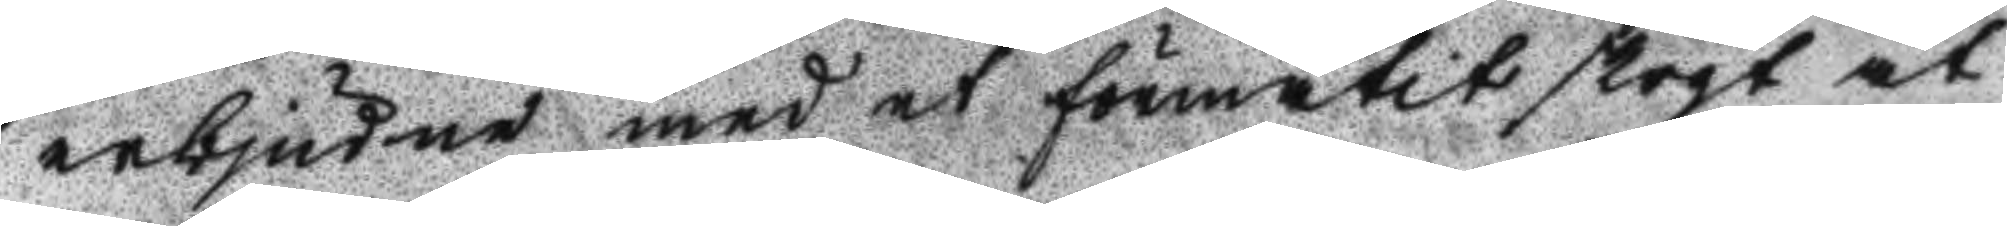erbjudne med et förmätit stegt at
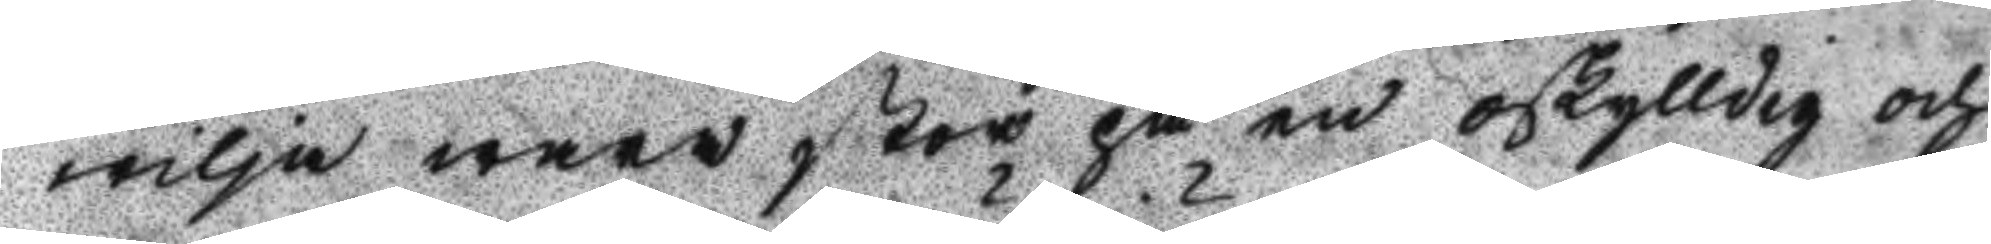wilja wara stor på en oskylldig och
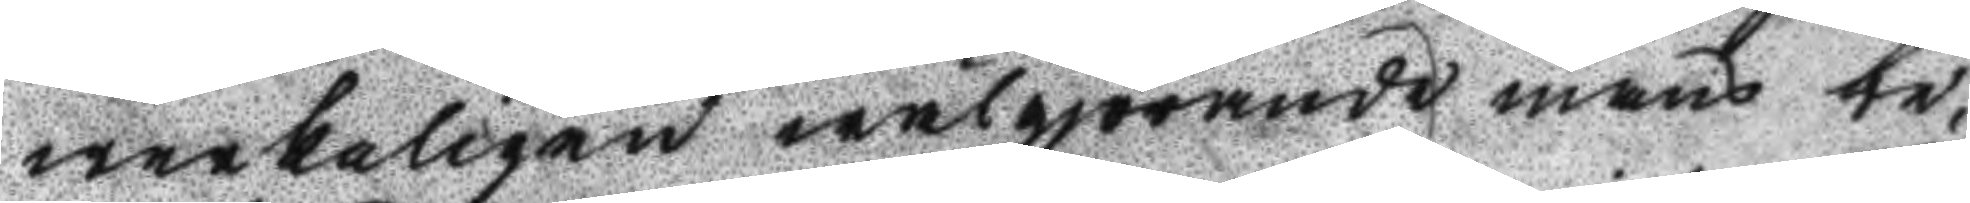werkaligen wälgiörande mans be¬
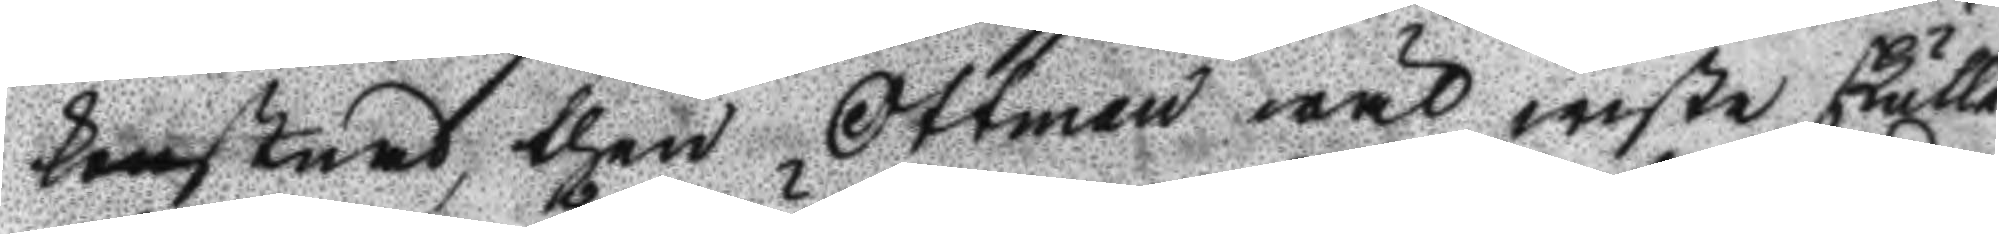kostnad, then Ottman wäl wiste skulle
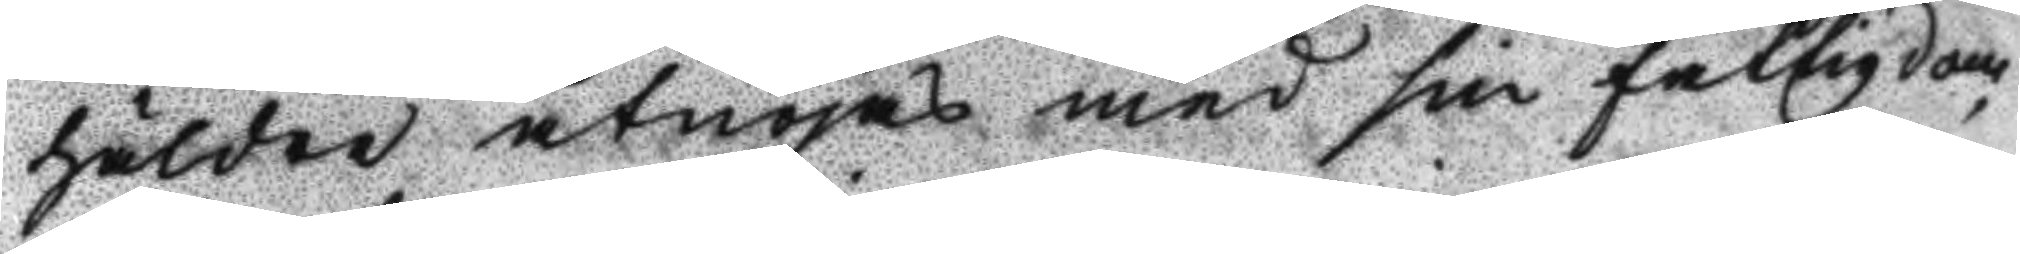häldre åtnöjas med sin fattigdom
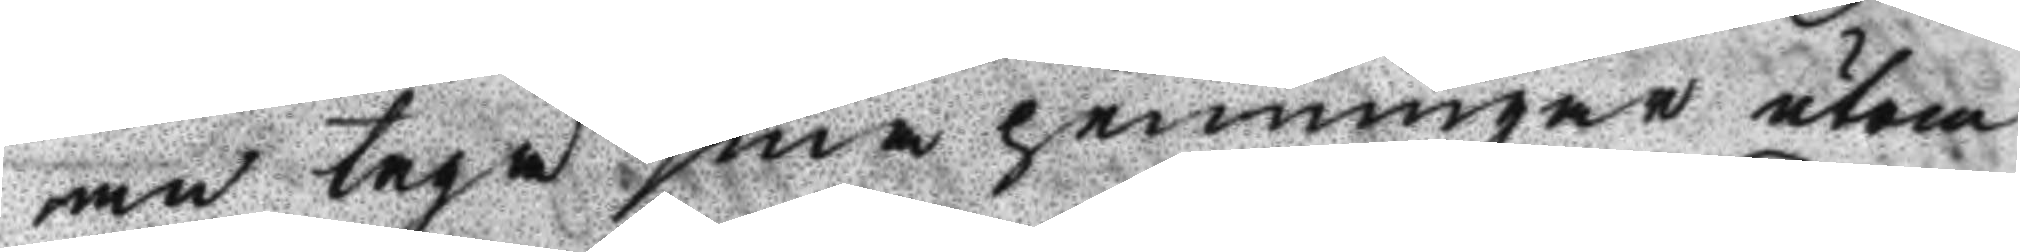men taga sina penningar utom
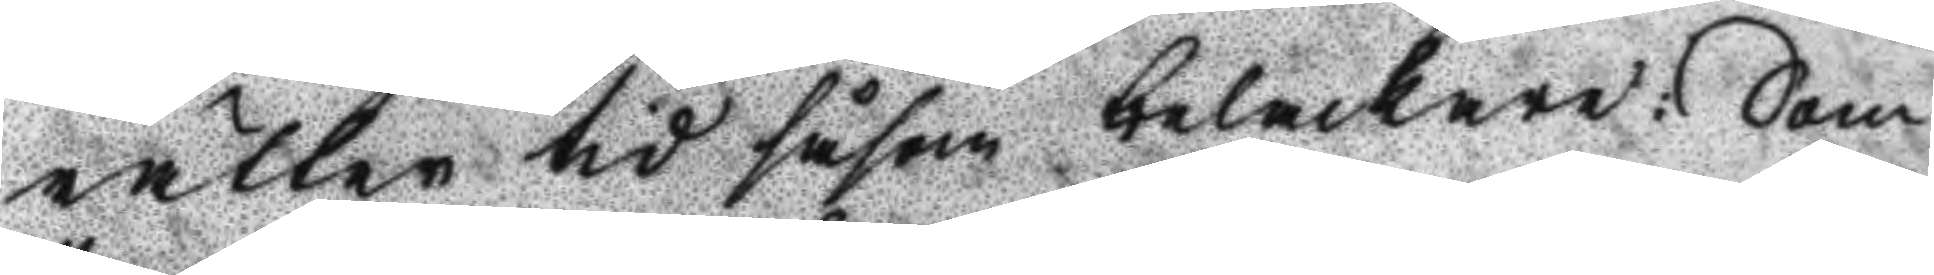rätten tid såsom belackare: Som
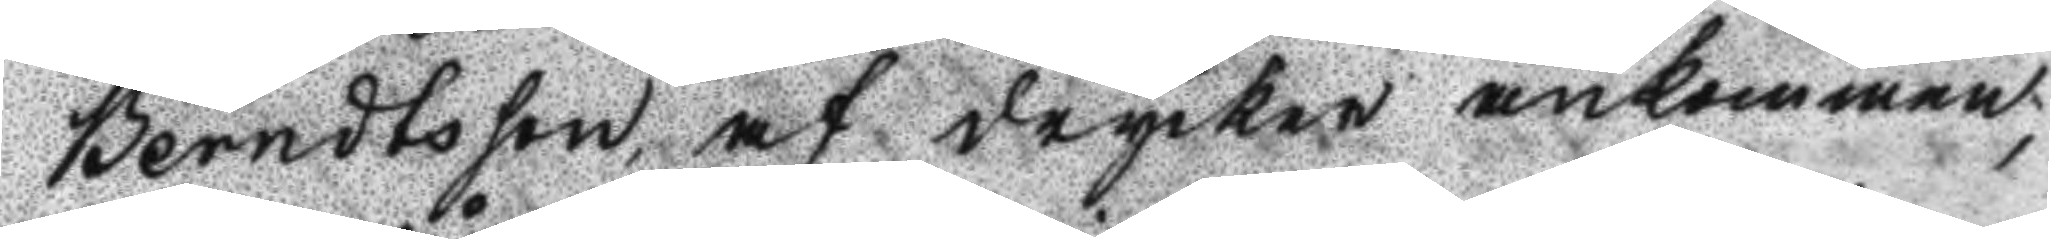Berndtsson, af drycken ankommen;
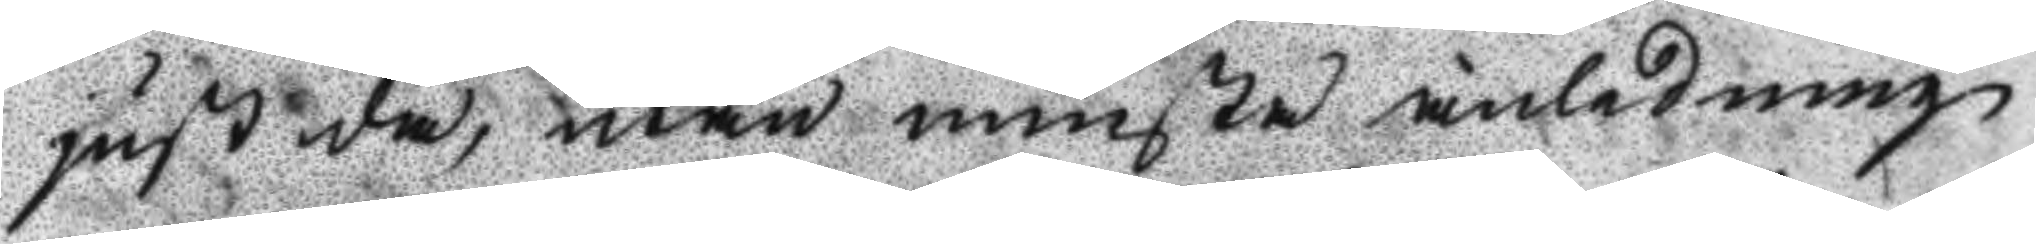just då, utan minsta anledning
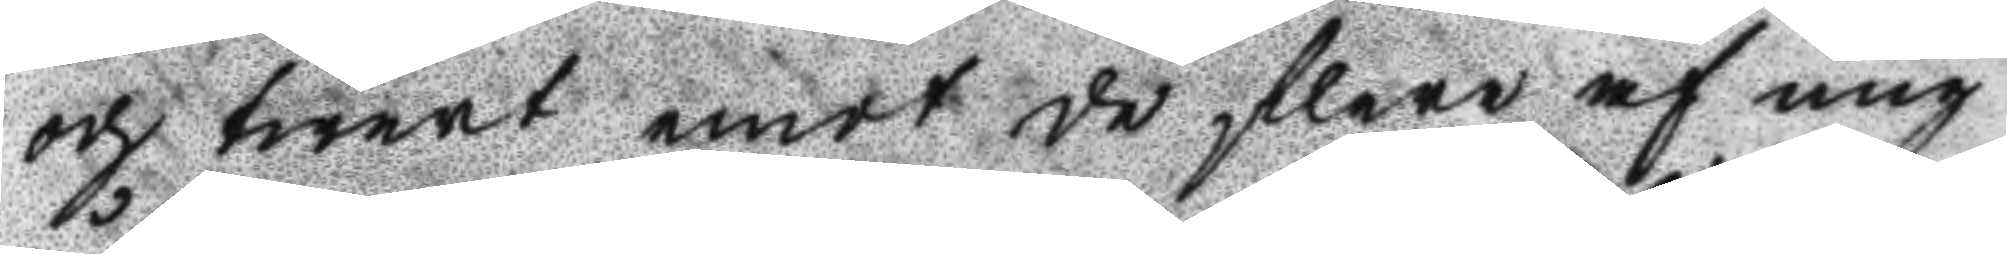och twert emot de flere af mig
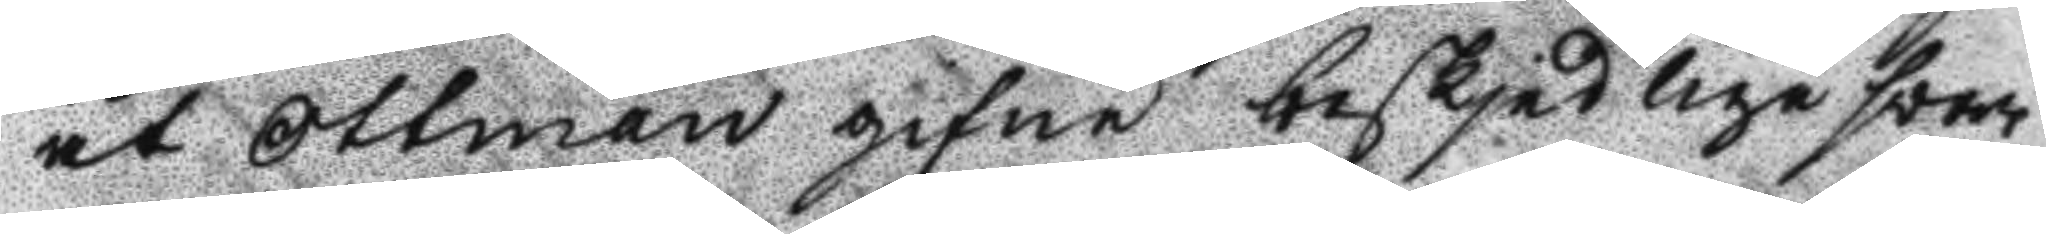åt Ottman gifne beskjedlige svar
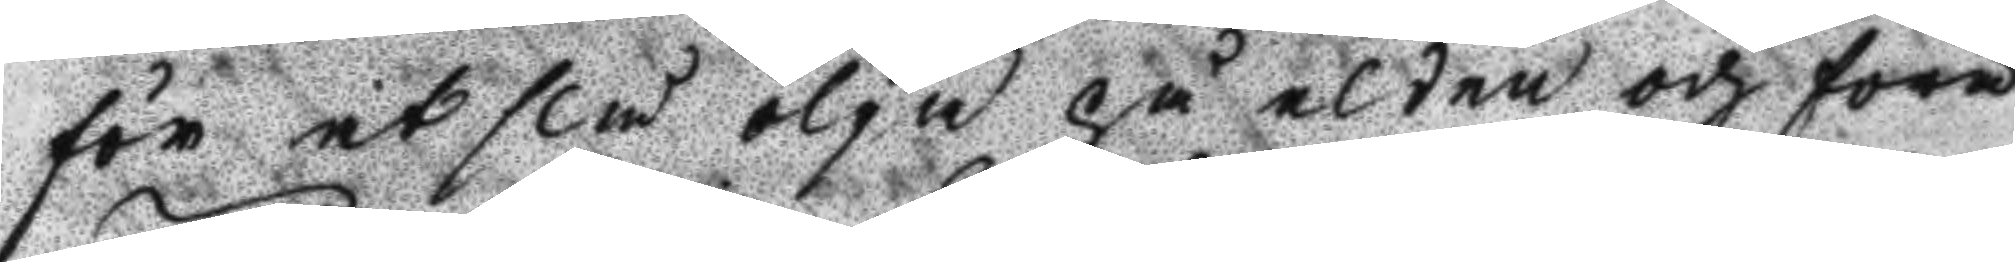för at slå olja på elden och föra
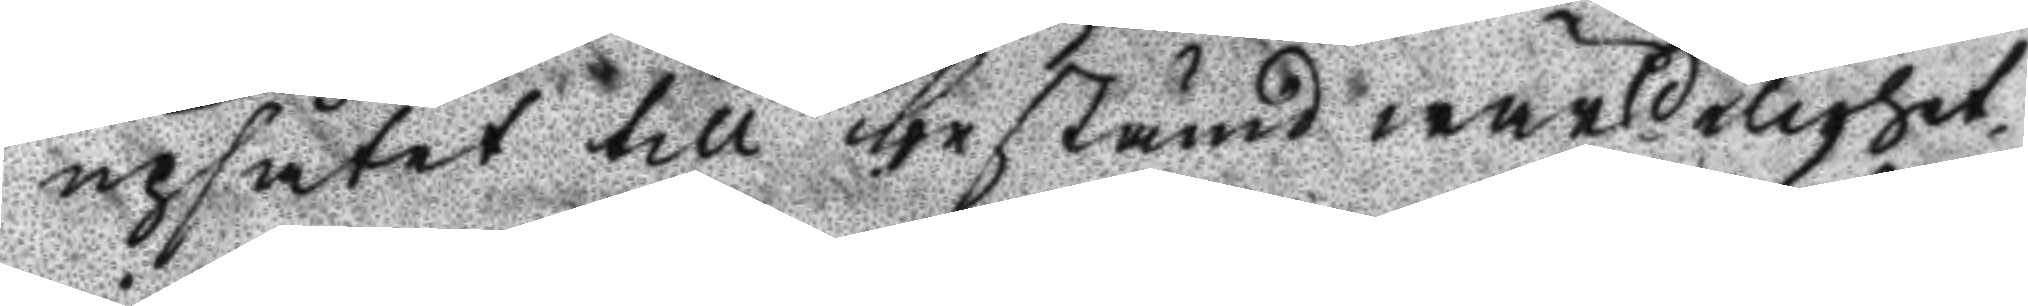upsåtet till bestämd wärldelighet
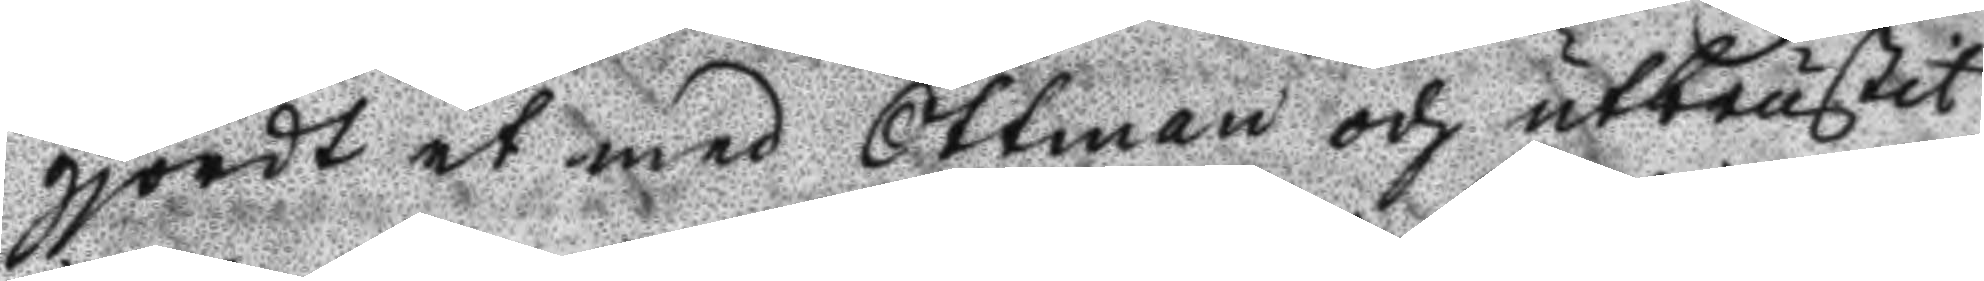gjordt et med Ottman och utbrustit
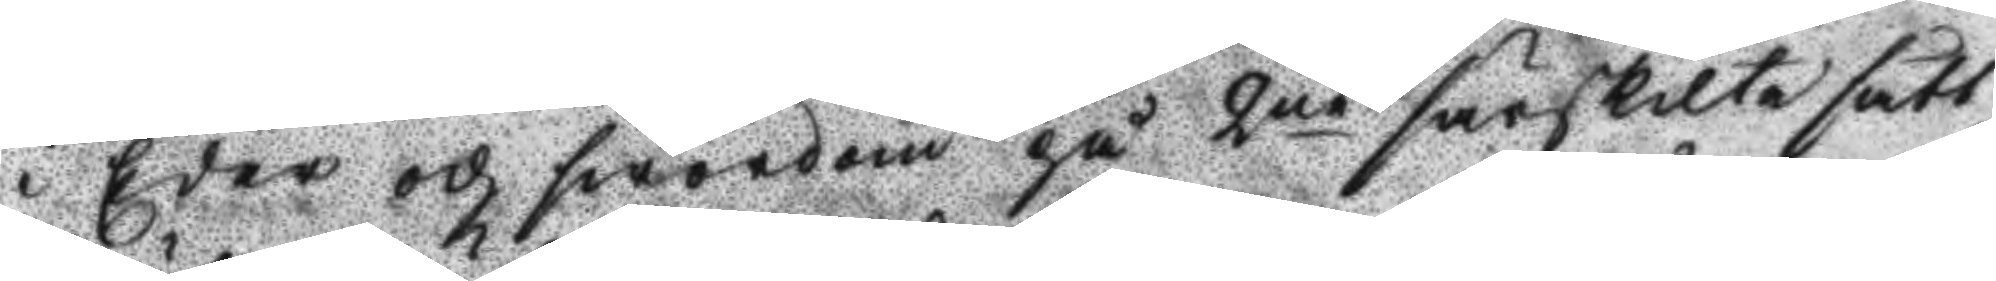i Eder och swordom på 2ne särskilte sätt,
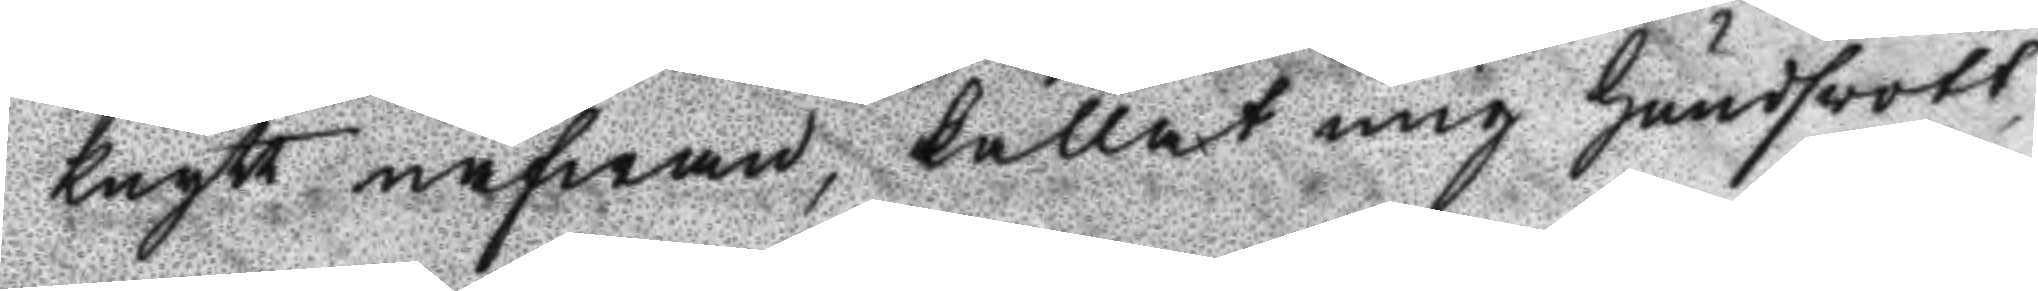knytt näfwan, kallat mig hundsvott,
